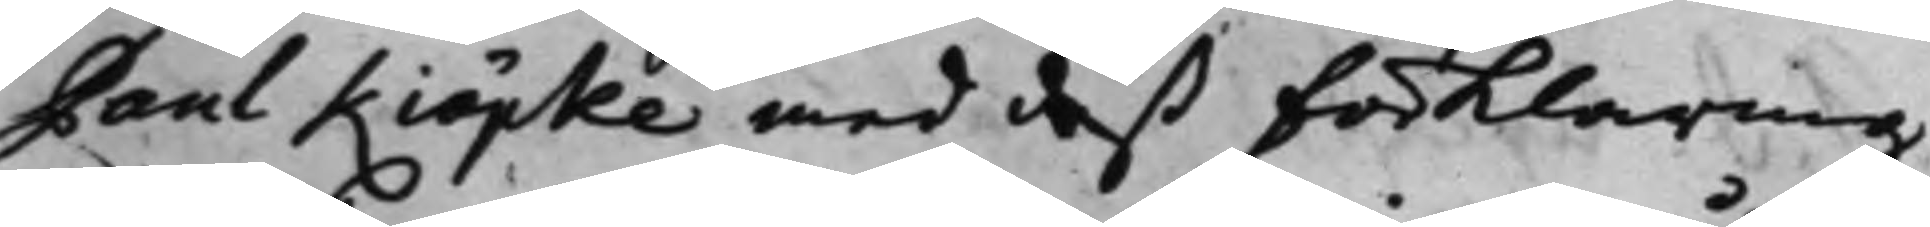Paul Kiöpke med deß Förklaring
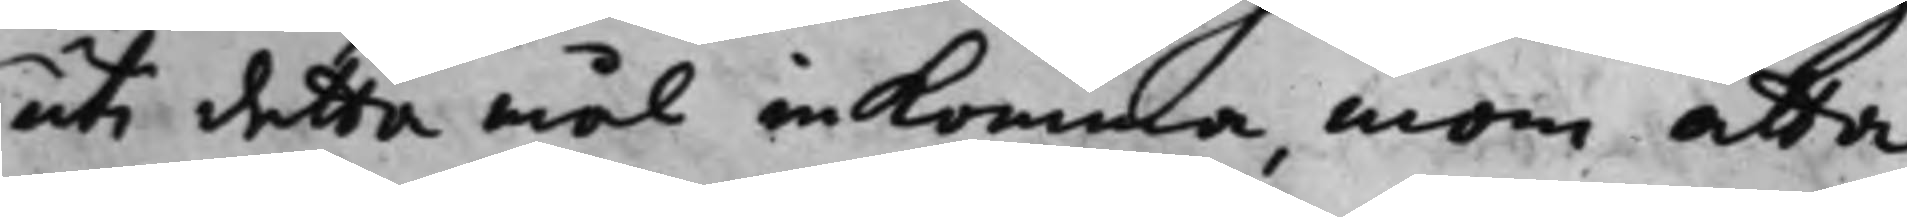uti detta mål inkomma, inom åtta
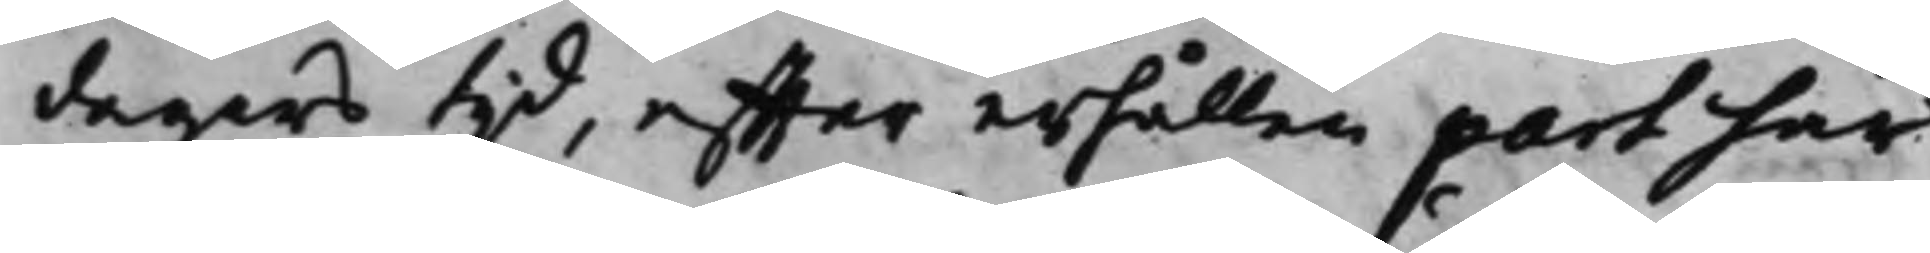dagars tijd, effter erhällen part här
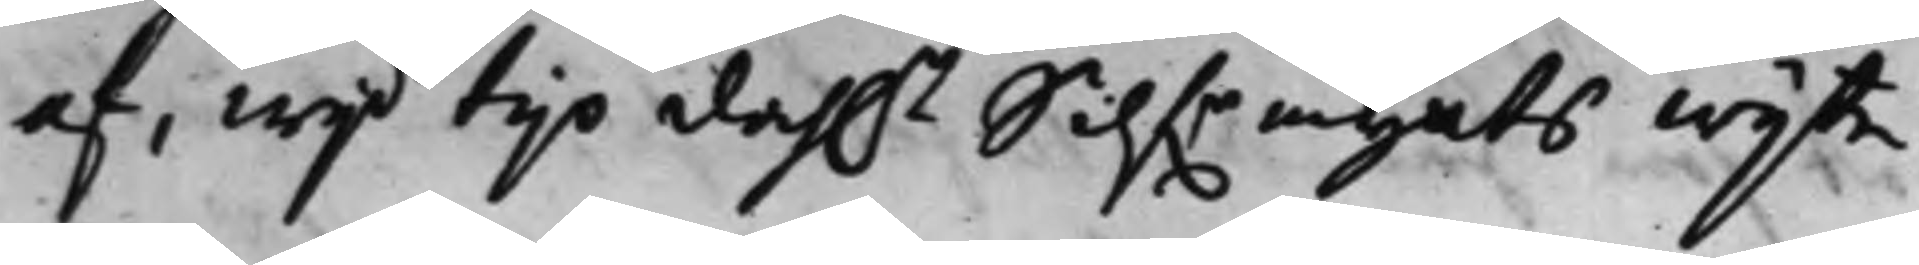af, wijd tijo dah.r Silf.rmynts wijte.
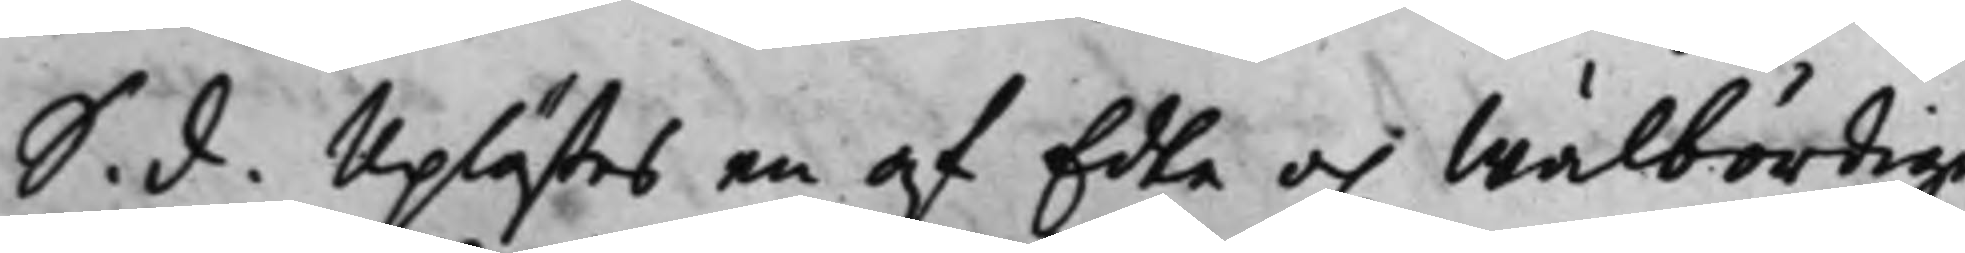S. d. Uplästes en af Edla och Wälbördige
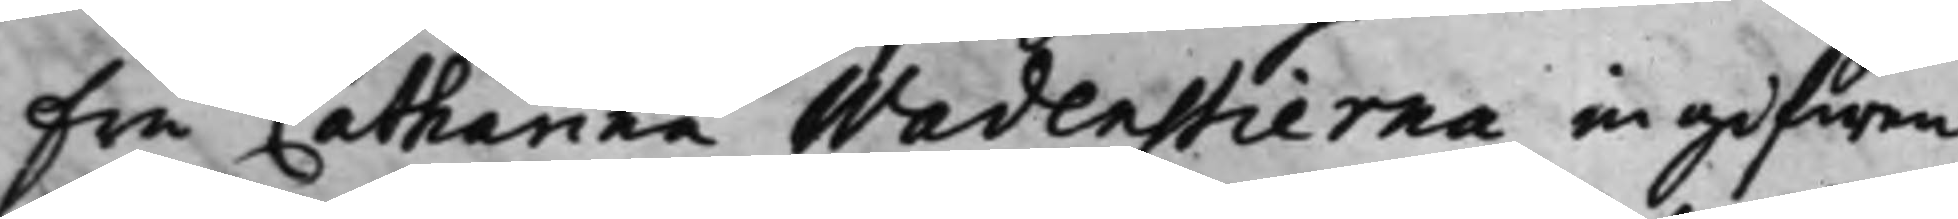Fru Catharina Wadenstierna ingifwen
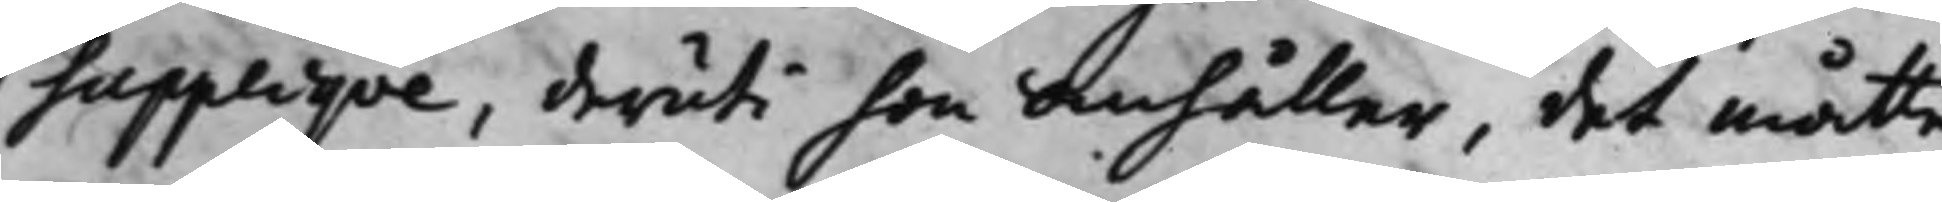Suppliqve, deruti hon anhåller, det måtte
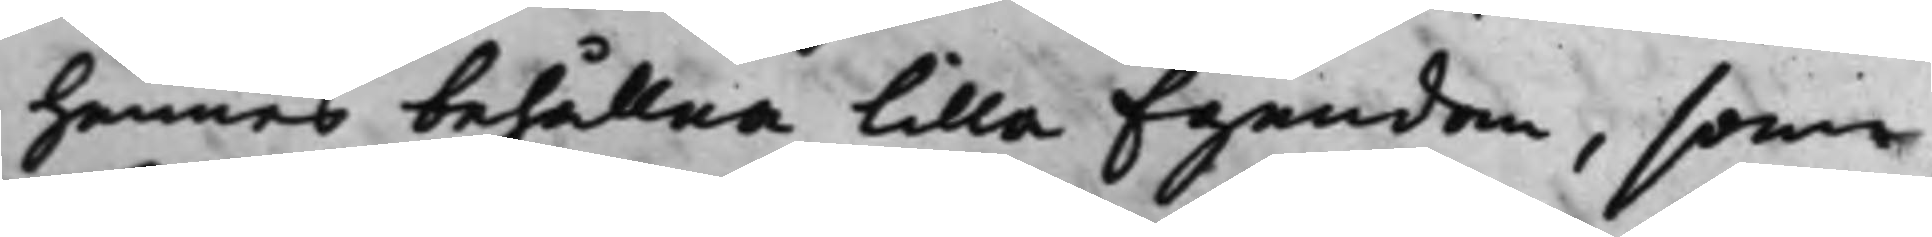hennes behållna Lilla Egendom, som
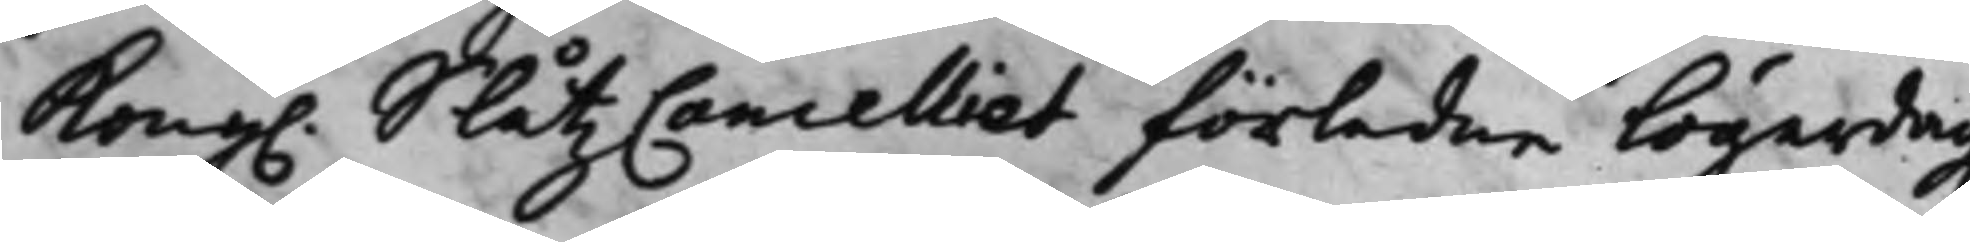Kong. SlåtzCancelliet förledne Lögerdag
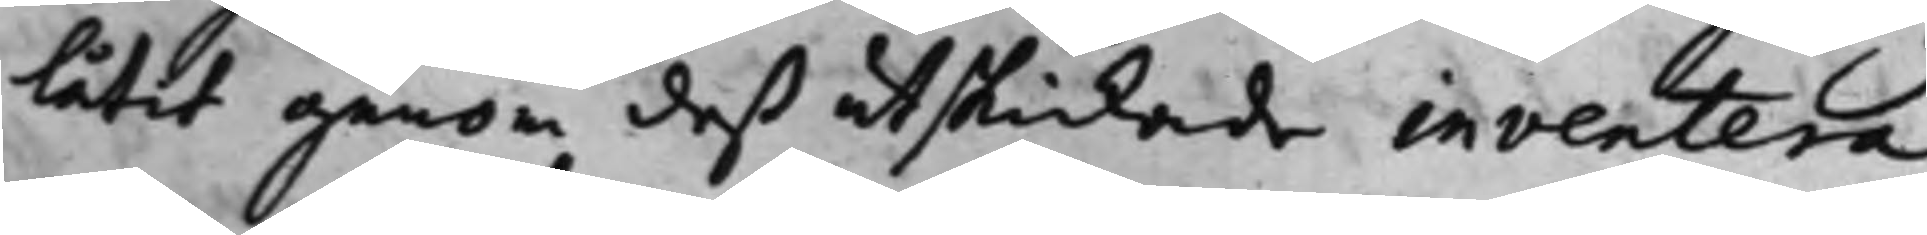låtit genom deß utskickade inventera
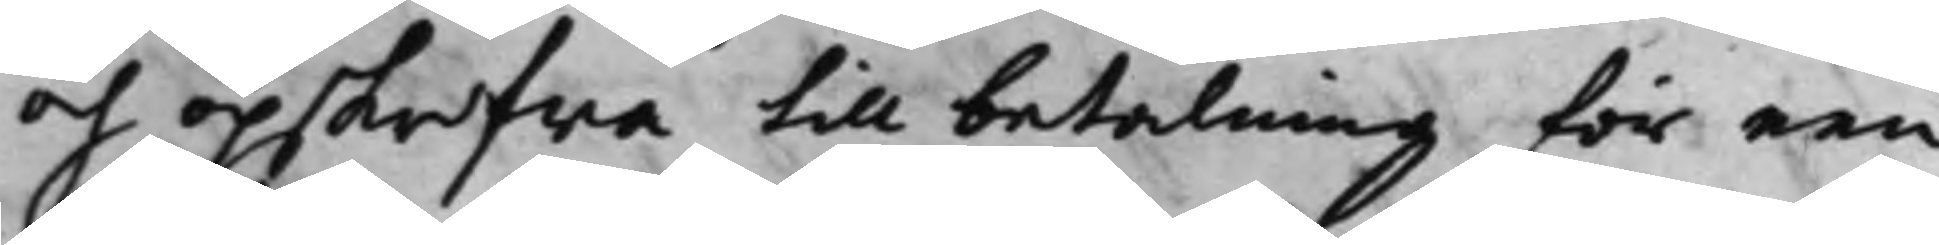och opskrifwa till betalning för een
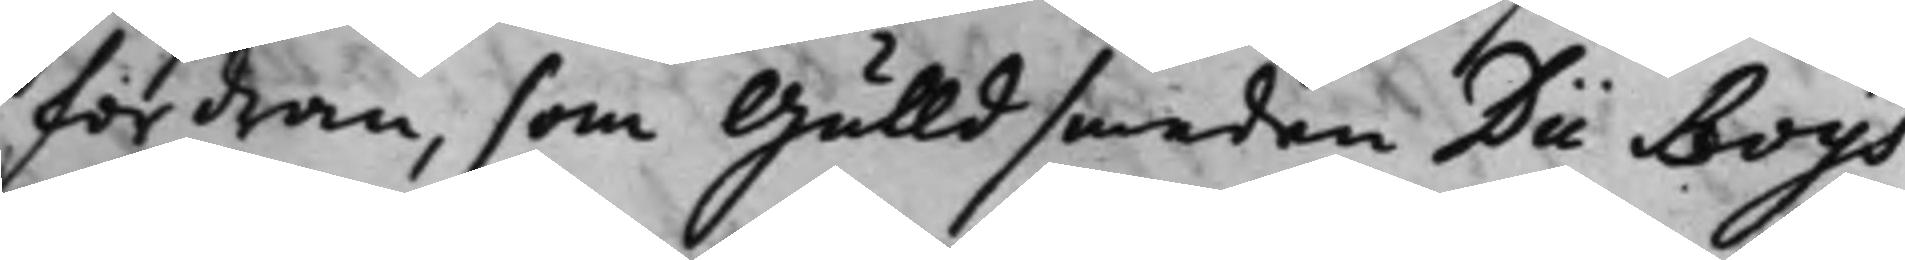fordran, som Gulldsmeden Dü Boys
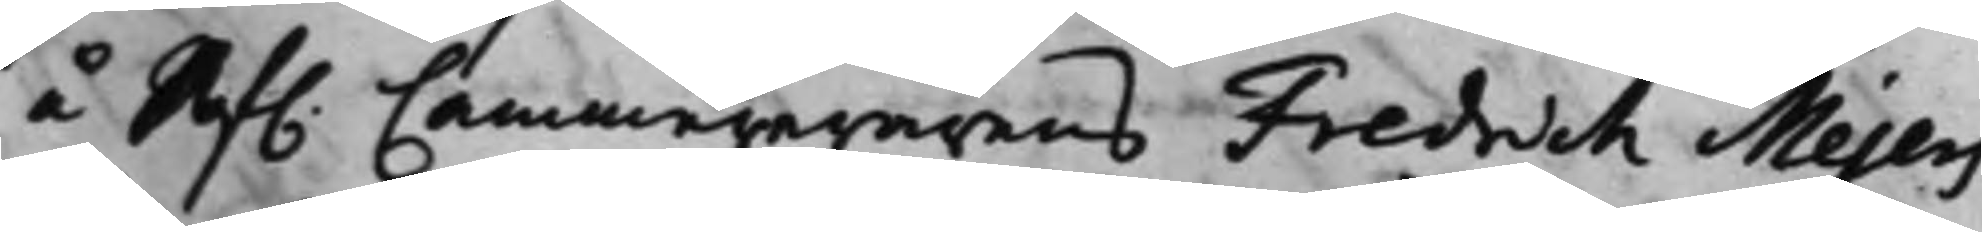å Af. Cammererarens Fredrich Mejers
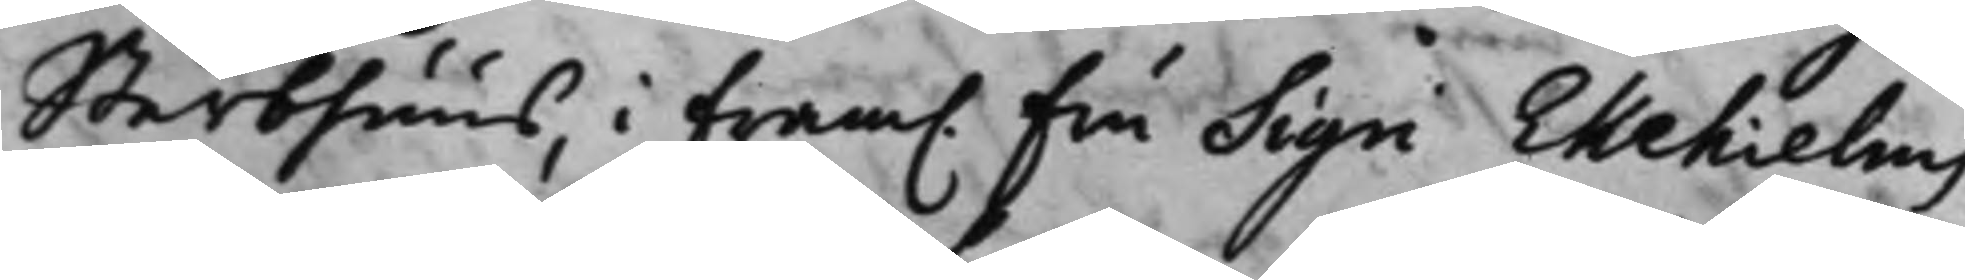Sterbhuus, i Fram. Fru Sigri Ekehielms
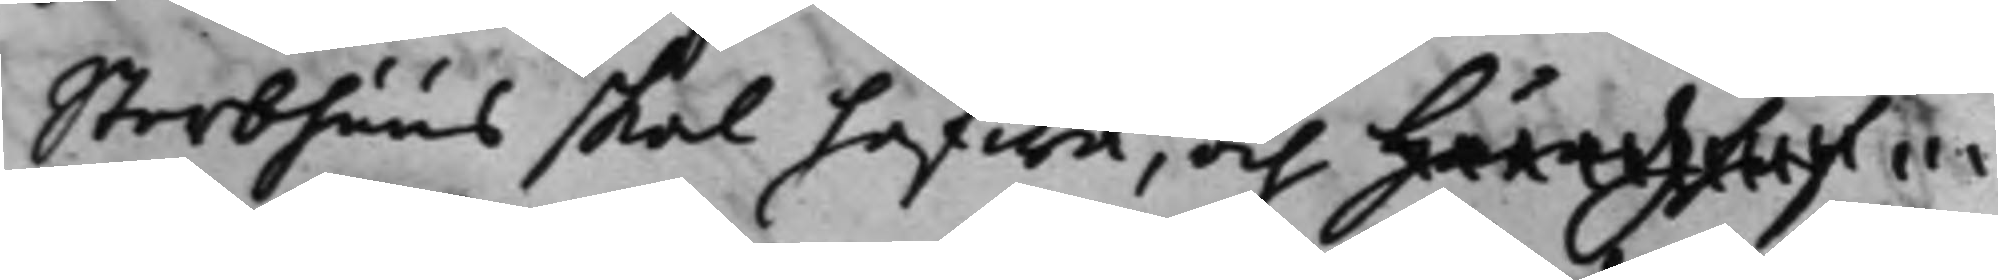Sterbhuus skal hafwa, och häradzshöf
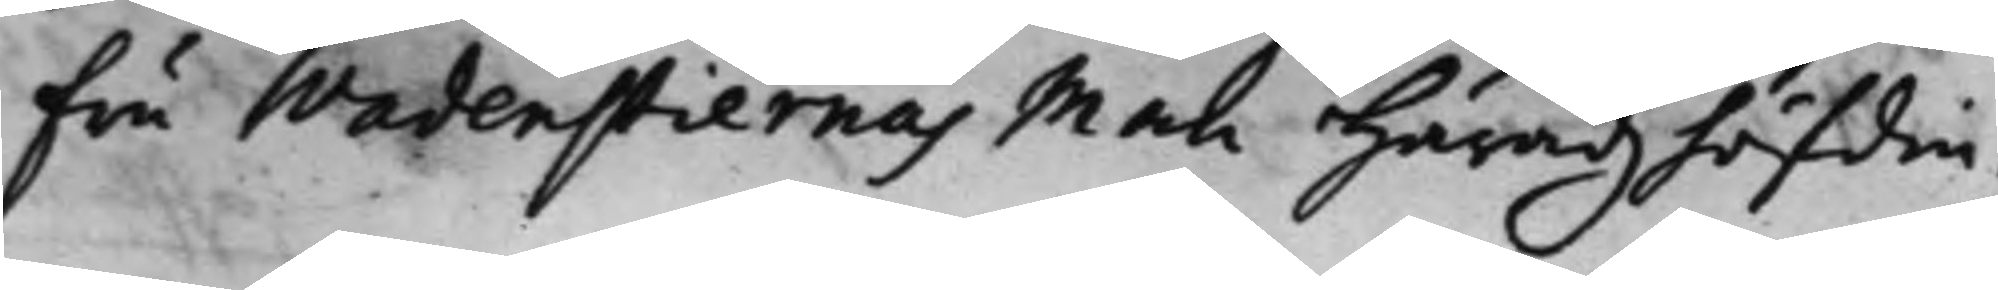Fru Wadenstiernas Man Häradzhöfdin¬
